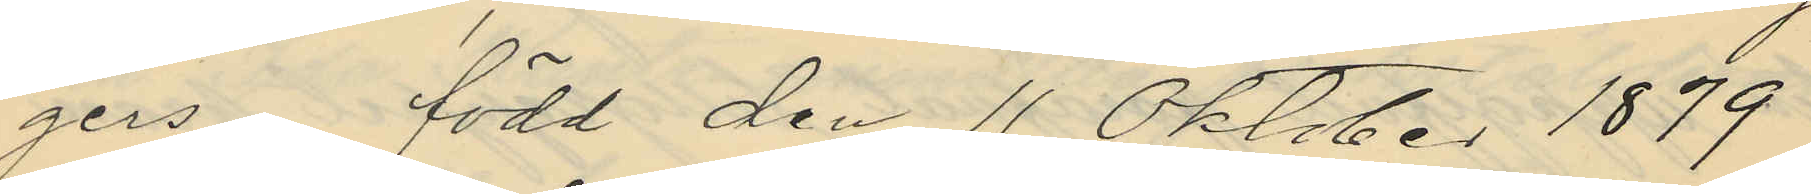gers, född den 11 Oktober 1879
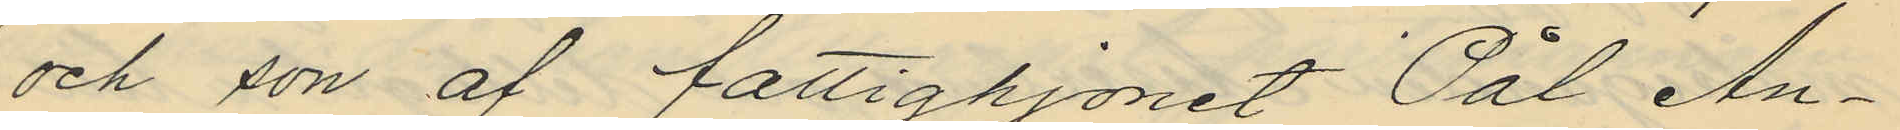och son af fattighjonet Pål An¬
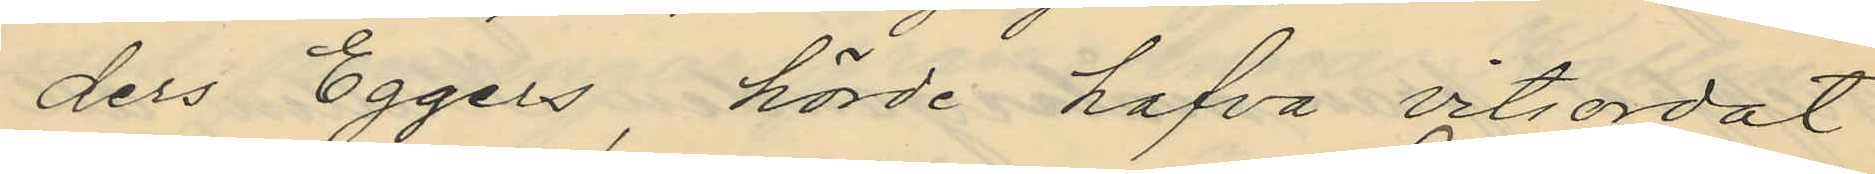ders Eggers, hörde hafva vitsordat
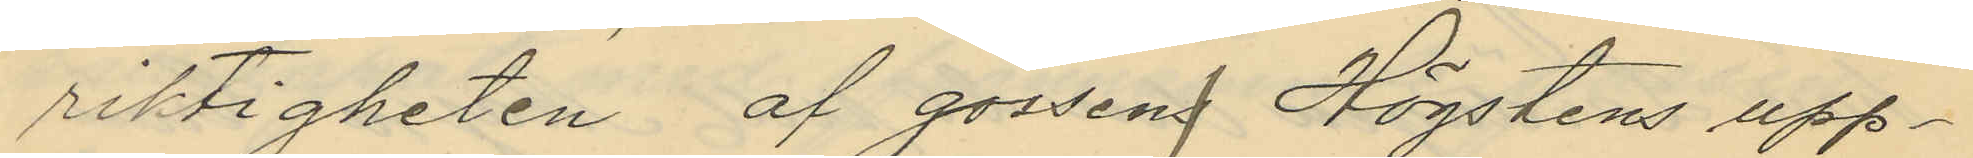riktigheten af gossens Högstens upp¬
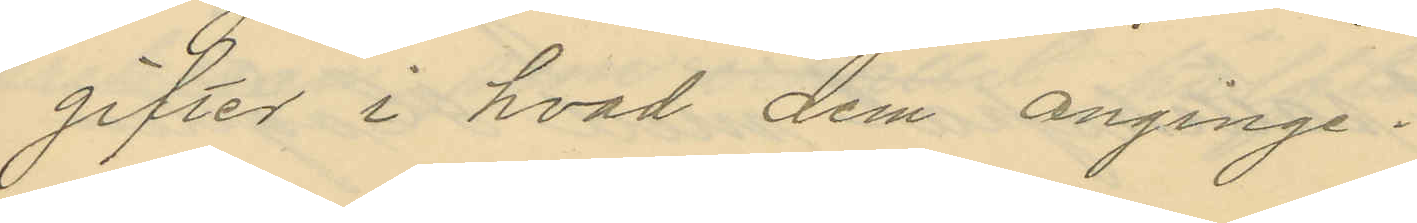gifter i hvad dem anginge.
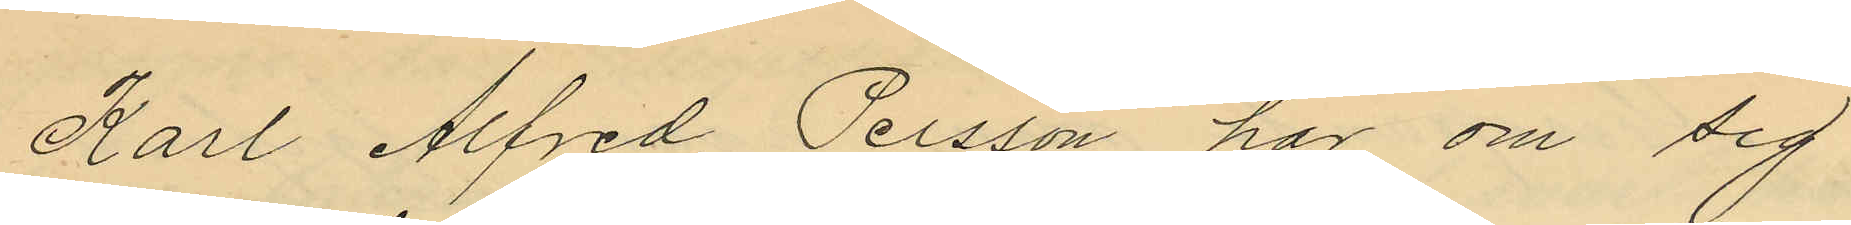Karl Alfred Persson har om sig
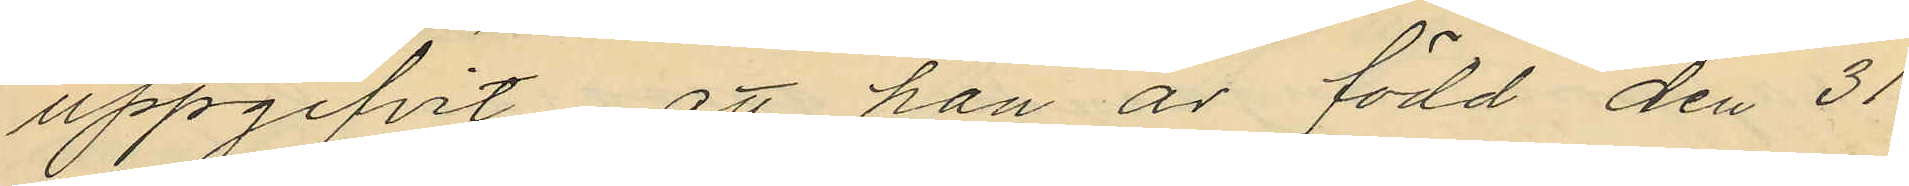uppgifvit att han är född den 31
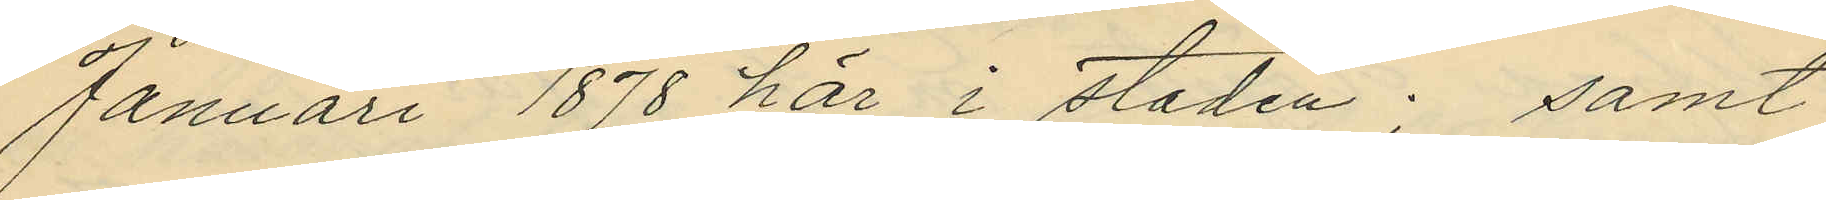Januari 1878 här i staden; samt
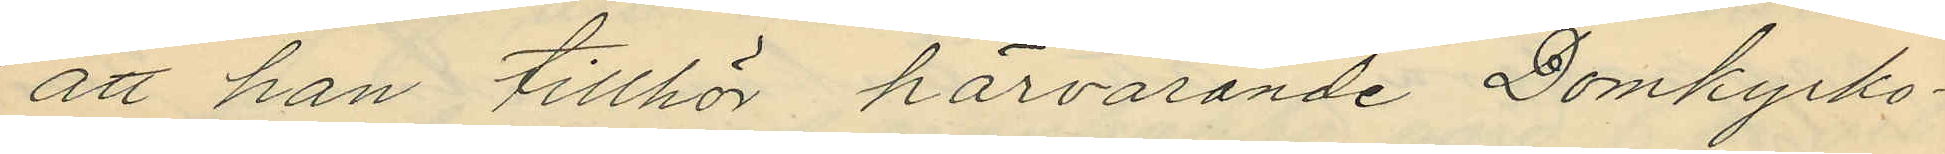att han tillhör härvarande Domkyrko¬
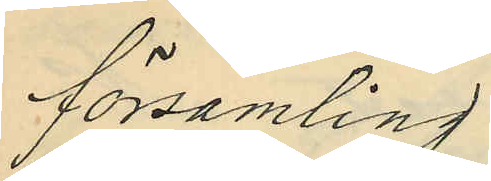församling.
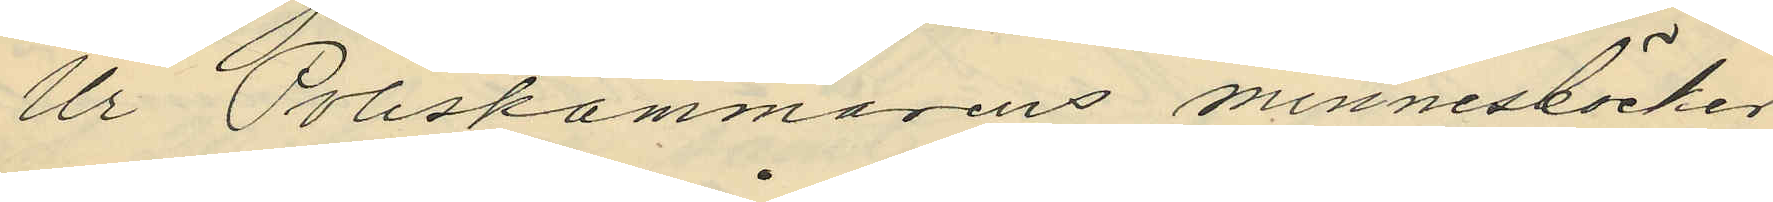Ur Poliskammarens minnesböcker
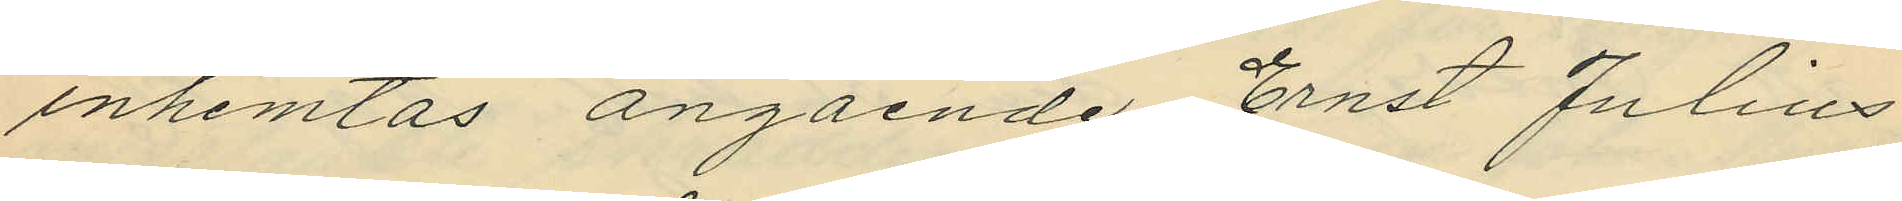inhemtas angående Ernst Julius
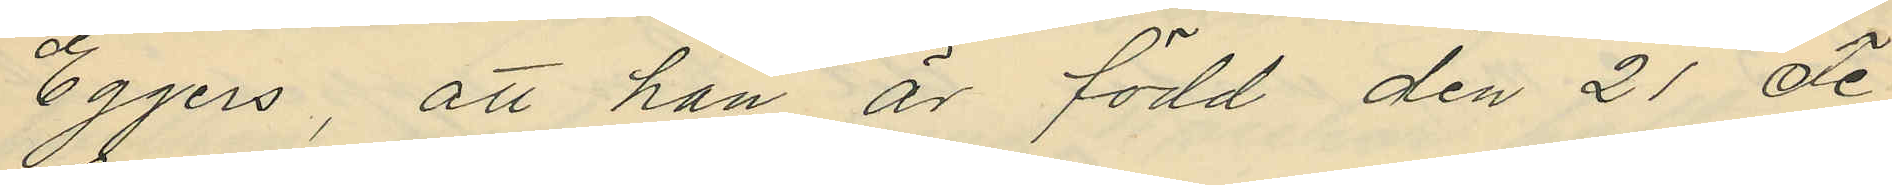Eggers, att han är född den 21 Fe¬
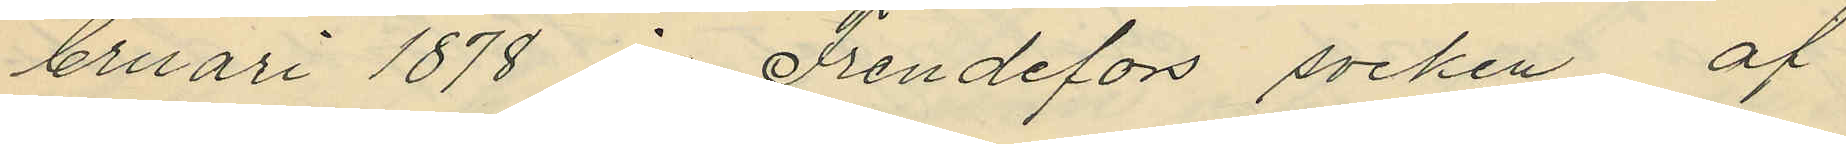bruari 1878 i Frendefors socken af
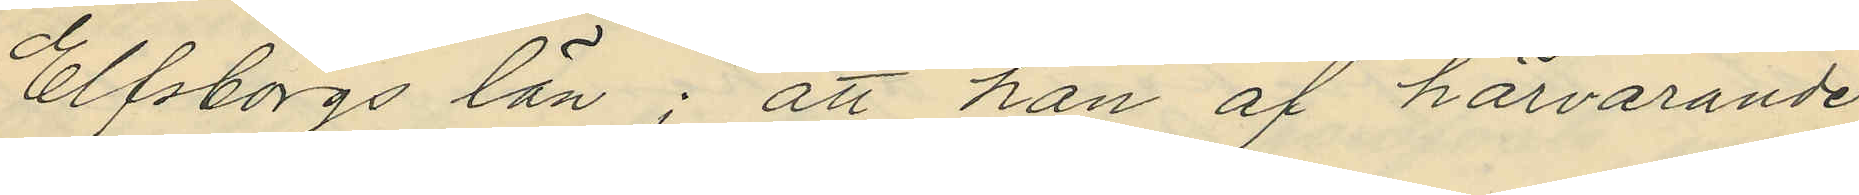Elfsborgs län; att han af härvarande
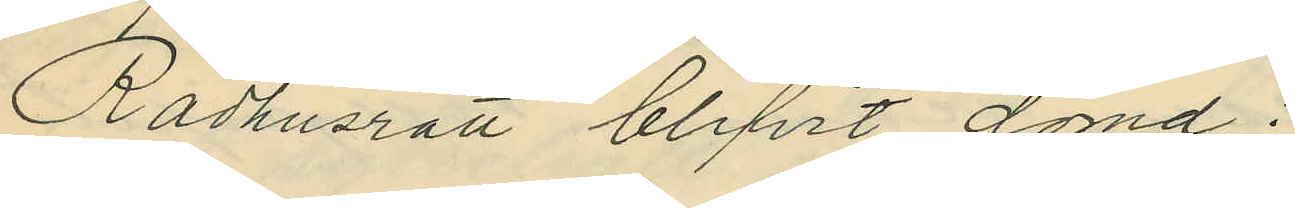Rådhusrätt blifvit dömd:
